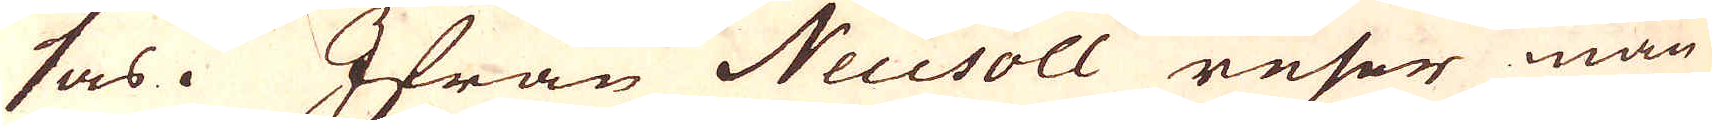sas. Ifrån Neusoll reser man
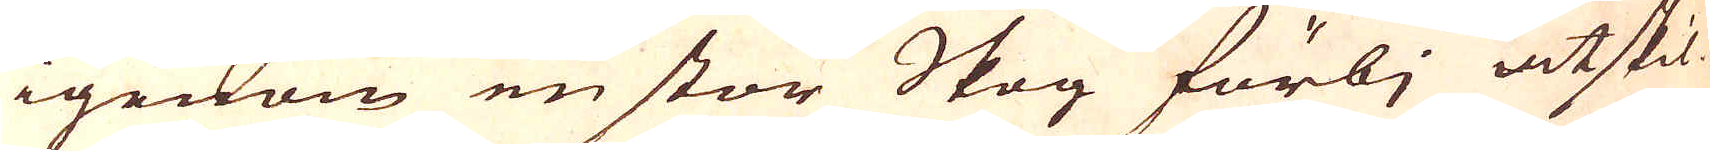igenom en stor Skog förbj åtskil-
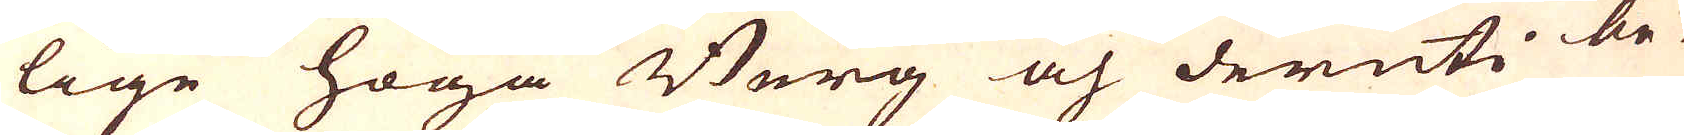lige höga Berg och deruti be-
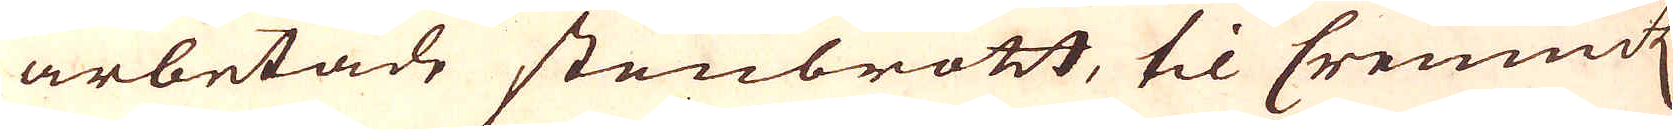arbetade stenbrott, til Cremnitz
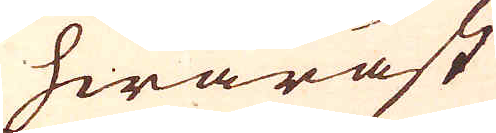hwaräst
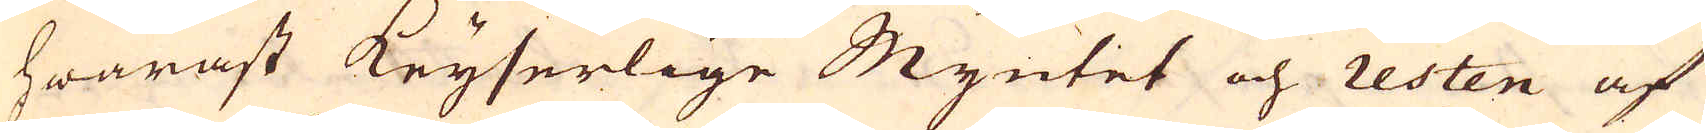hwaräst Keyserlige Myntet och resten af
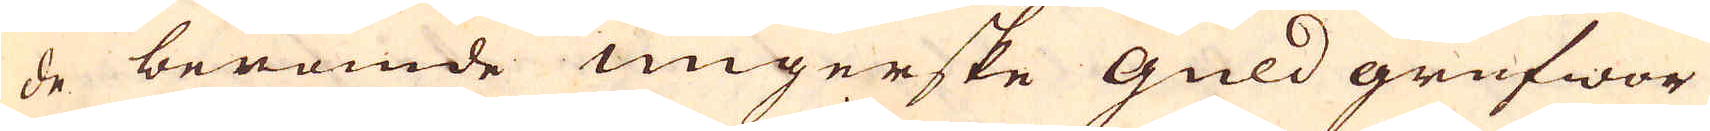de berömde ungerske Guld grufwor
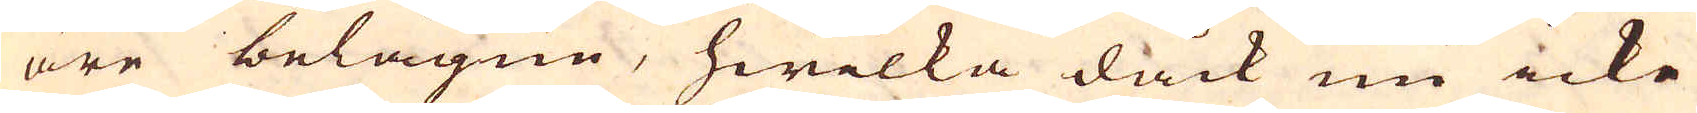äre belägne, hwilka dåck nu icke
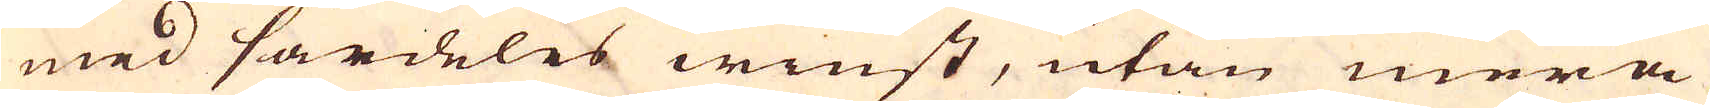med särdeles winst, utan mera
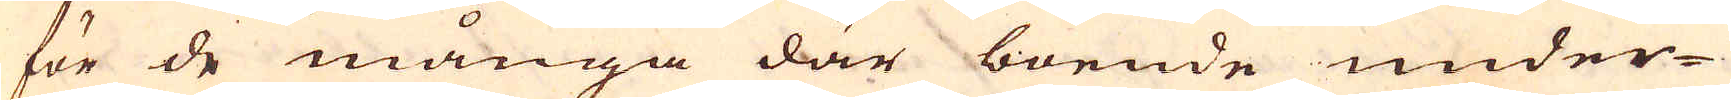för de många där boende under-
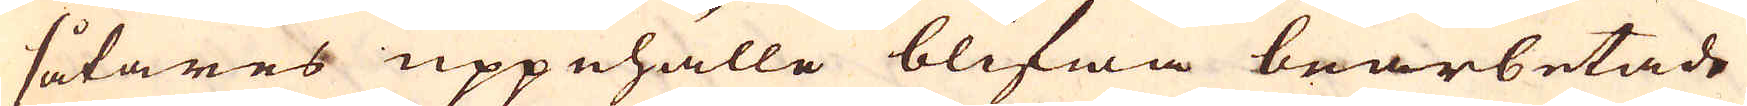såtares uppehälle blifwa bearbetade
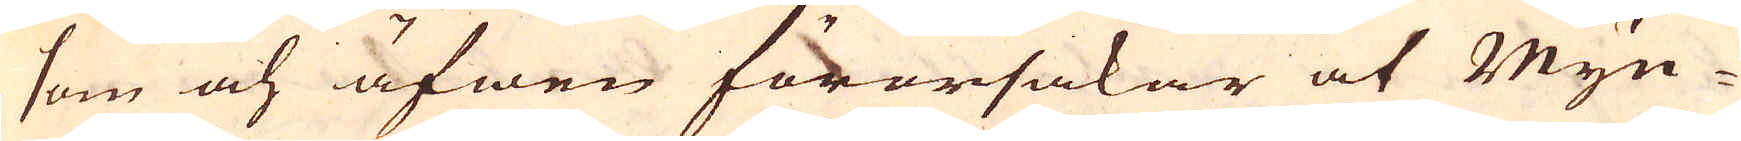som och äfwen förorsakar at Myn-
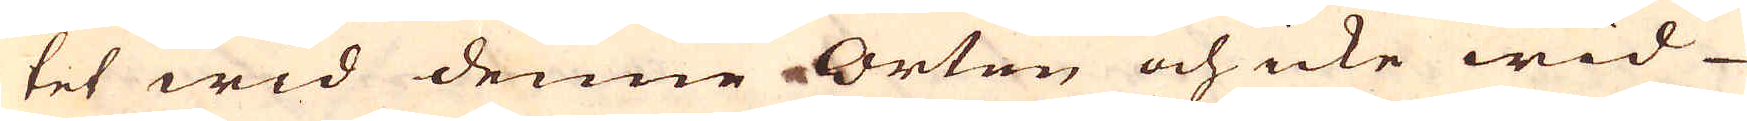tet wid denne Orten och icke wid
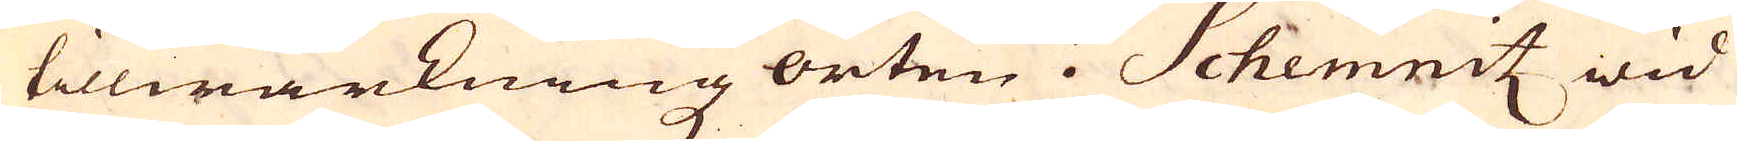tillwärkningz orten i Schemnitz wid
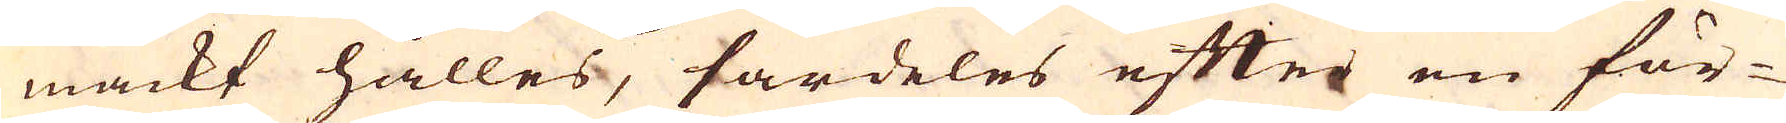mackt hålles, särdeles efter en för-
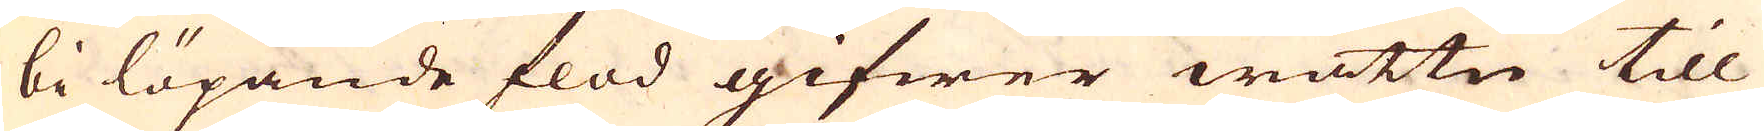bi löpande flod gifwer wattn till
